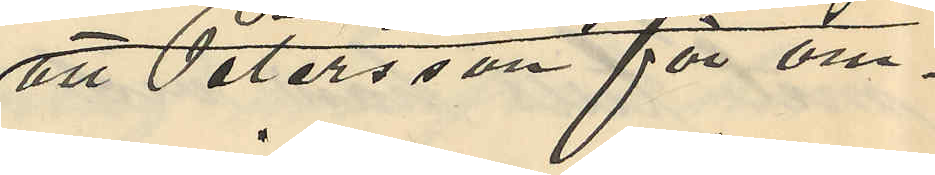att Petersson för om¬
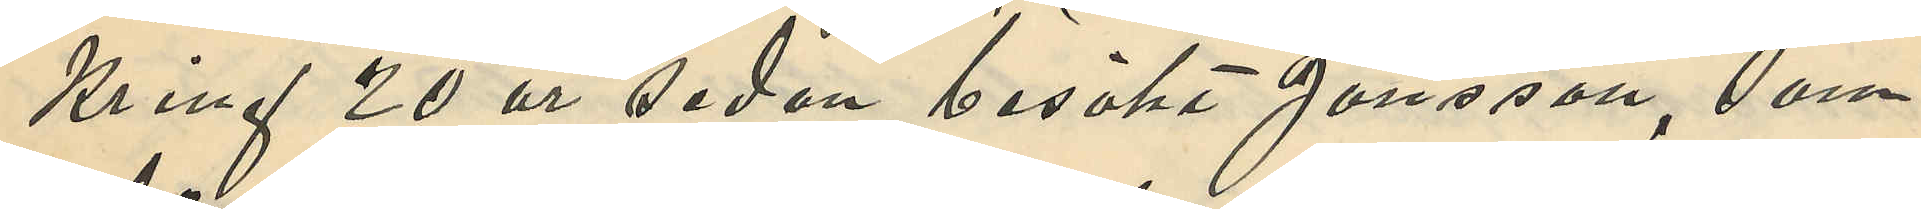kring 20 år sedan besökt Jansson, som
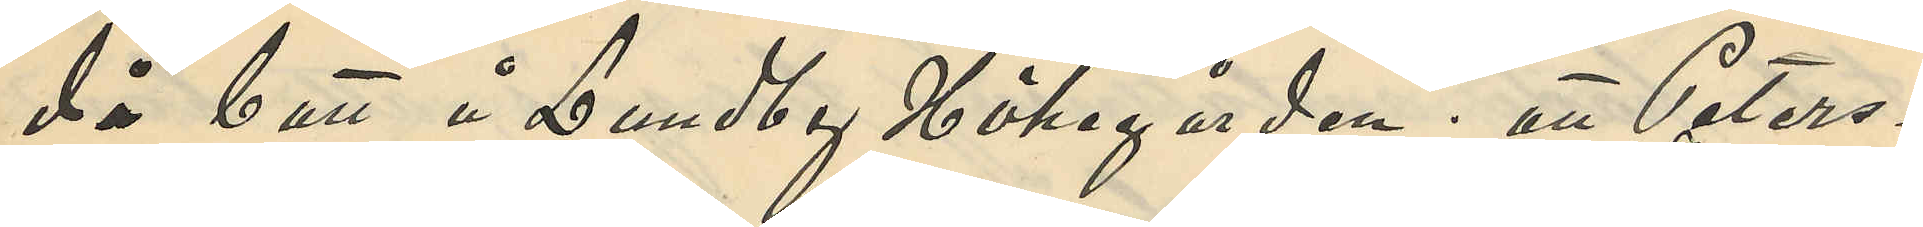då bott å Lundby Hökegården; att Peters¬
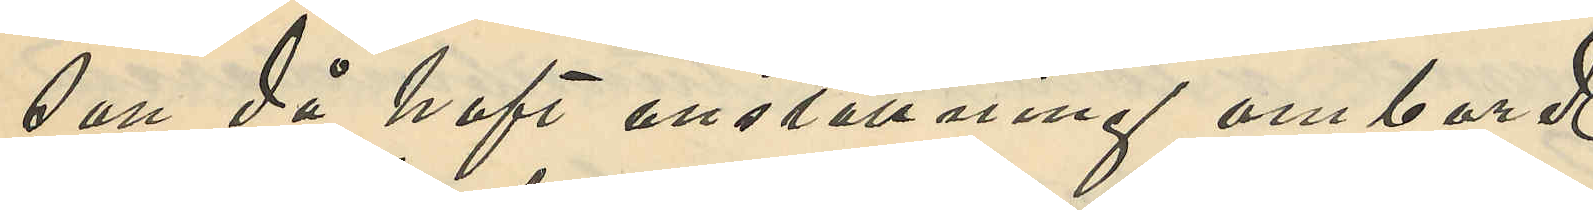son då haft anställning ombord
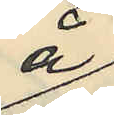å
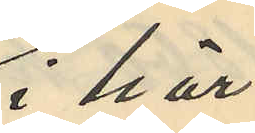i här¬
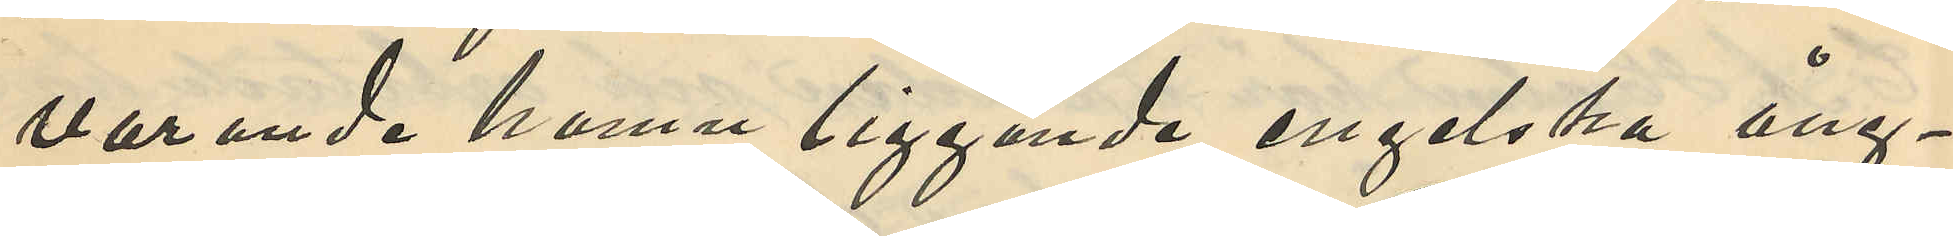varande hamn liggande engelska ång¬
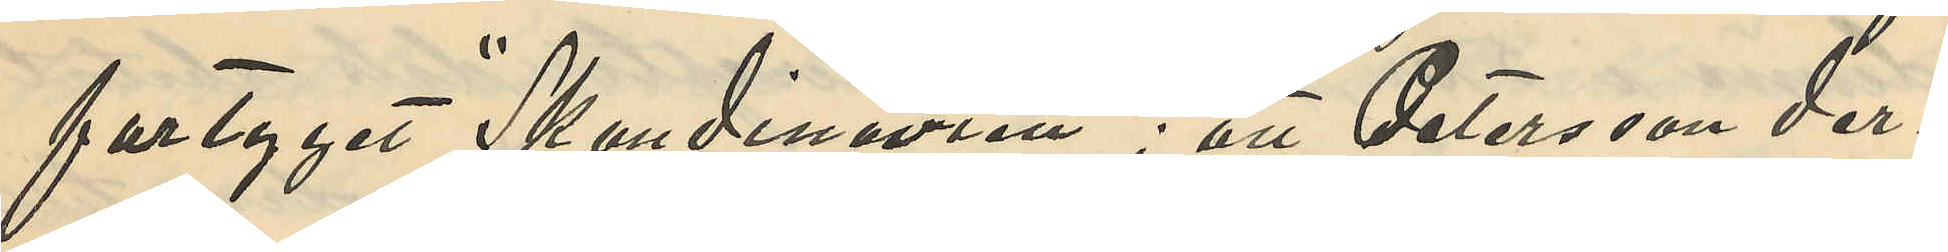fartyget "Skandinavien"; att Petersson der¬
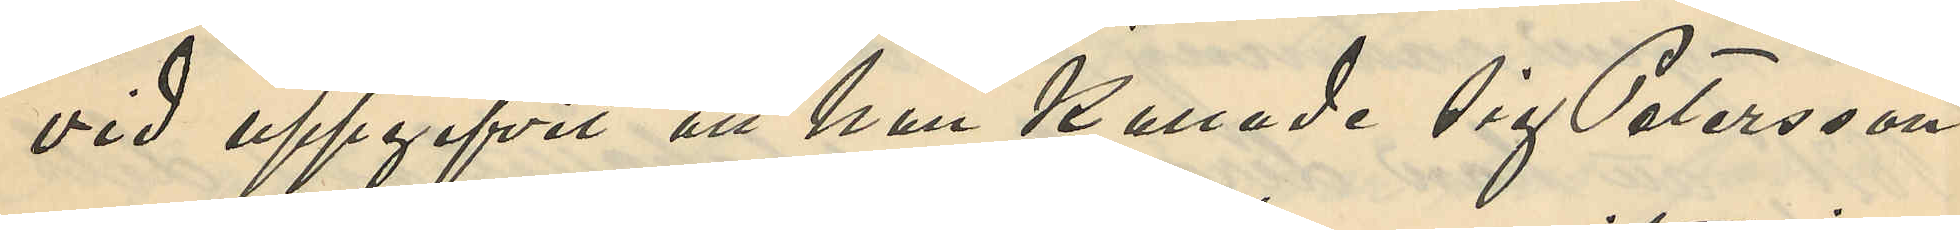vid uppgifvit att han kallade sig Petersson
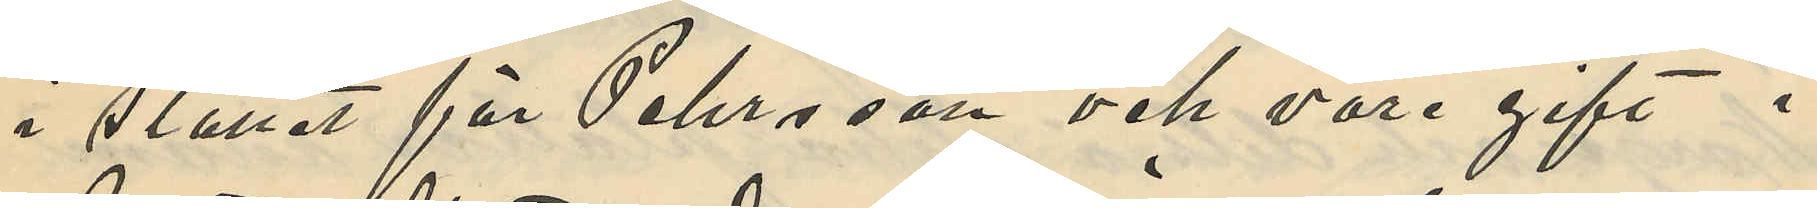i stället för Pehrsson och vore gift i
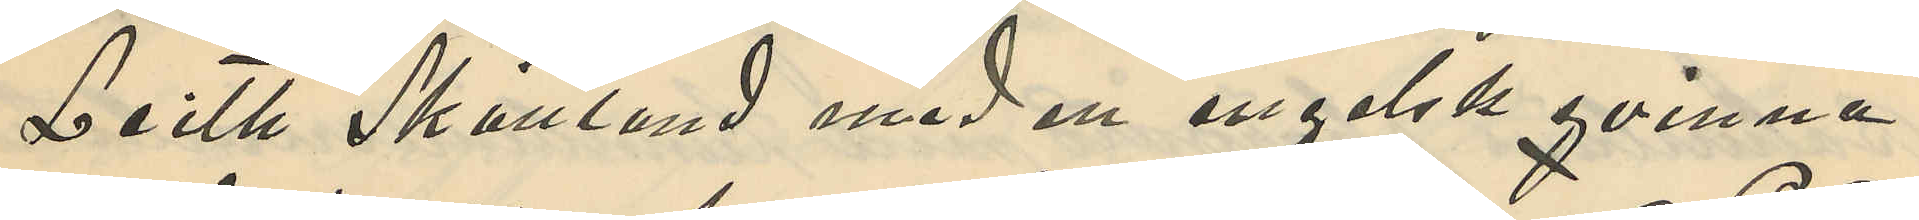Leith Skottland med en engelsk qvinna
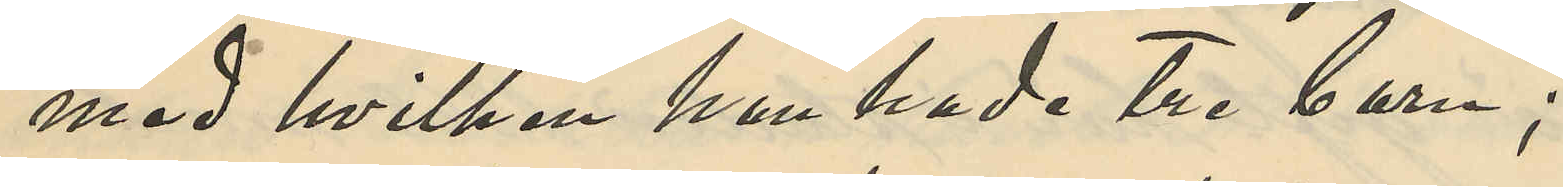med hvilken han hade tre barn;
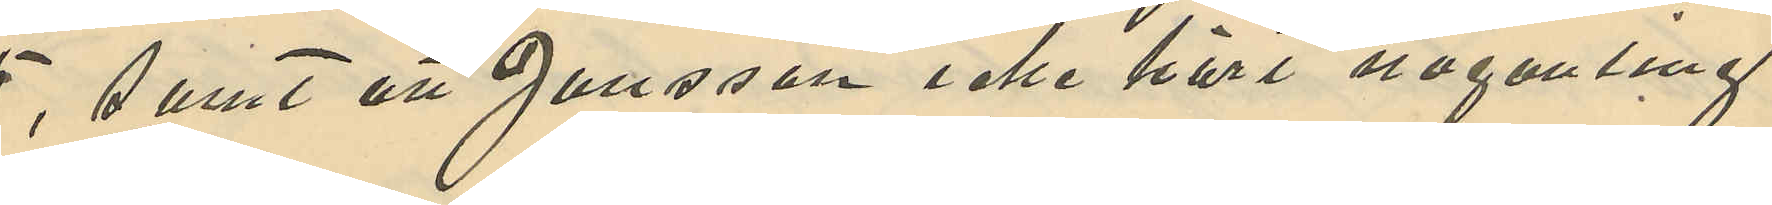samt att Jansson icke hört någonting
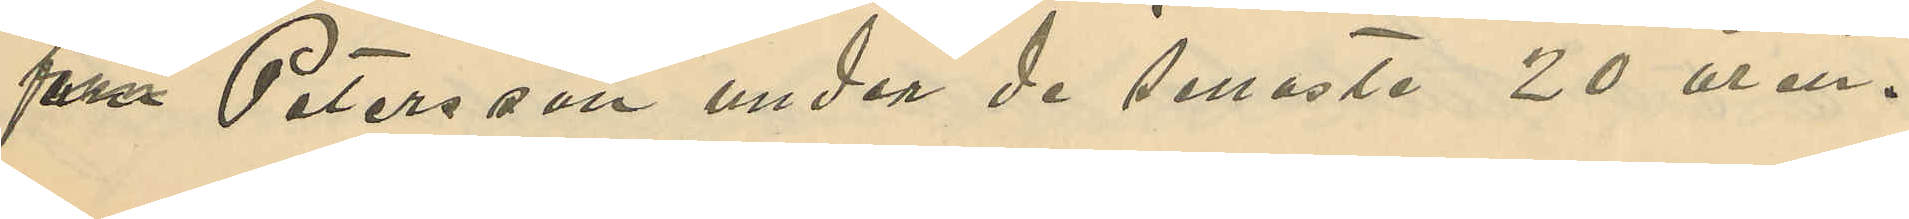från Petersson under de senaste 20 åren.
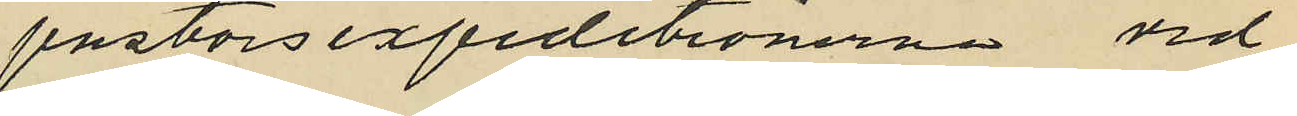pastorsexpeditionerna vid
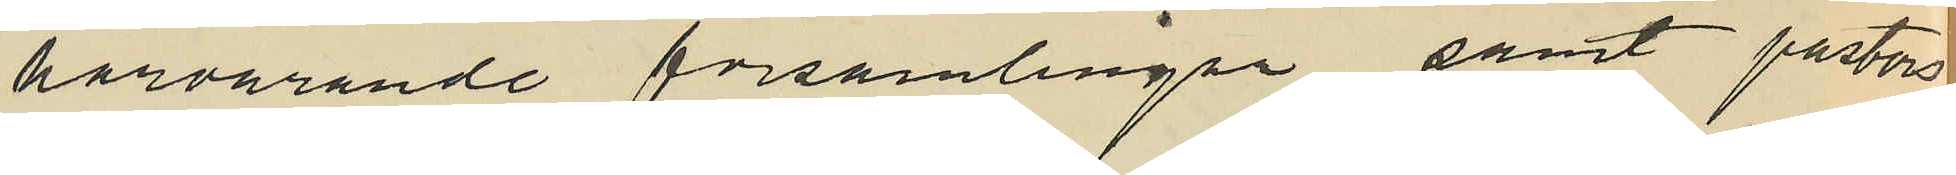härvarande församlingar samt pastors
